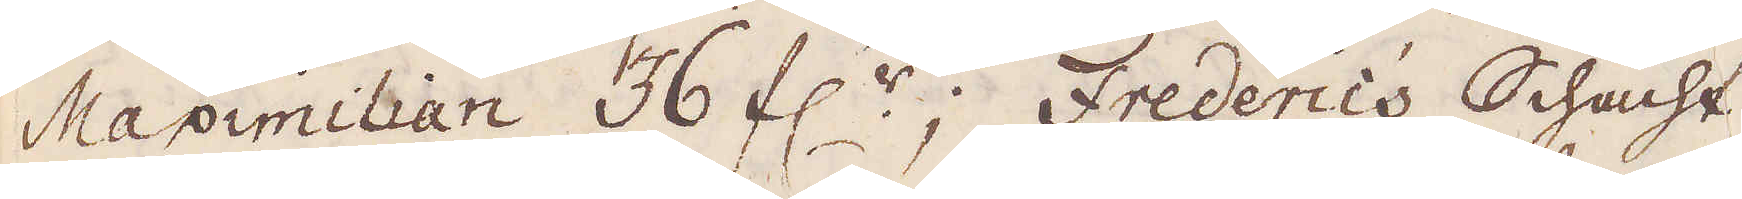Maximilian 36 f:r; Frederics Schacht,
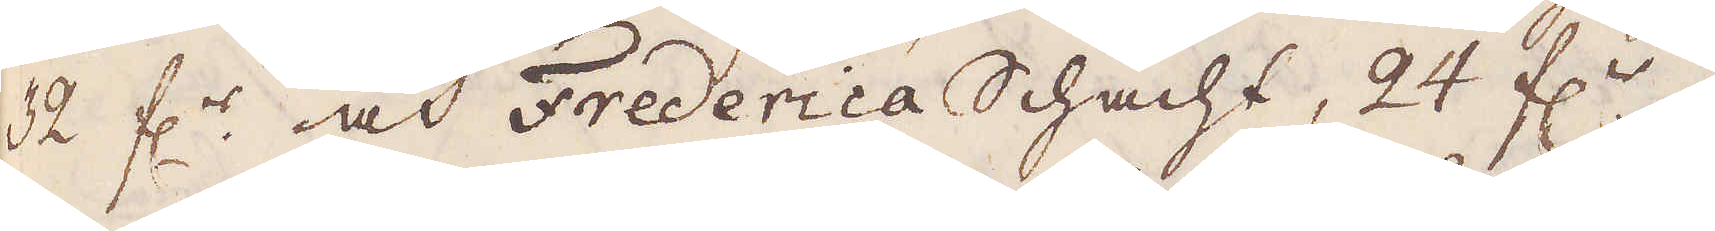32 f:r och Frederica Schacht, 24 f:r,
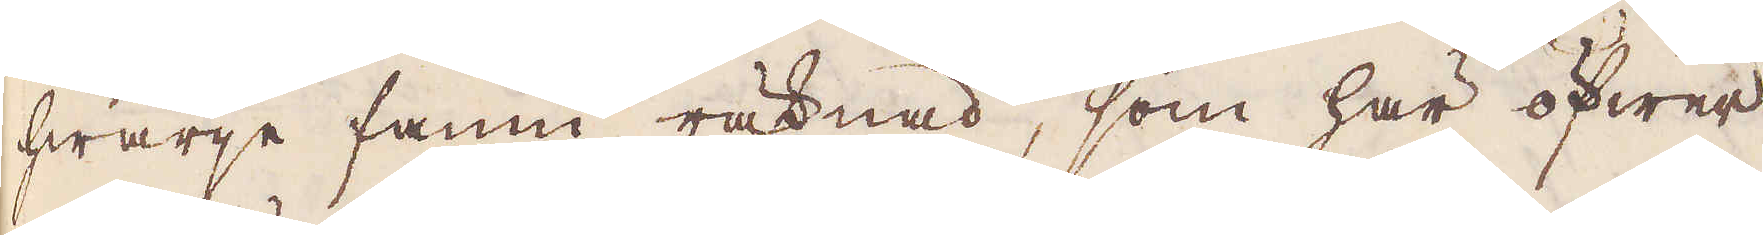hwarje famn räknad, som här öfwer
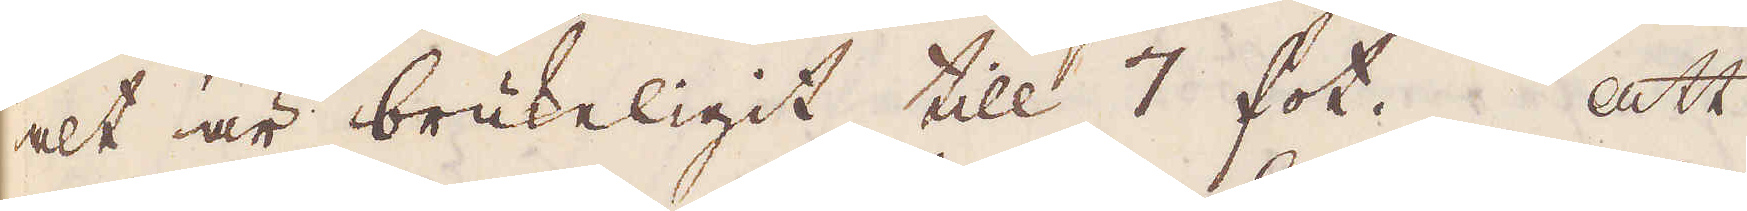alt är brukeligit till 7 fot. Att
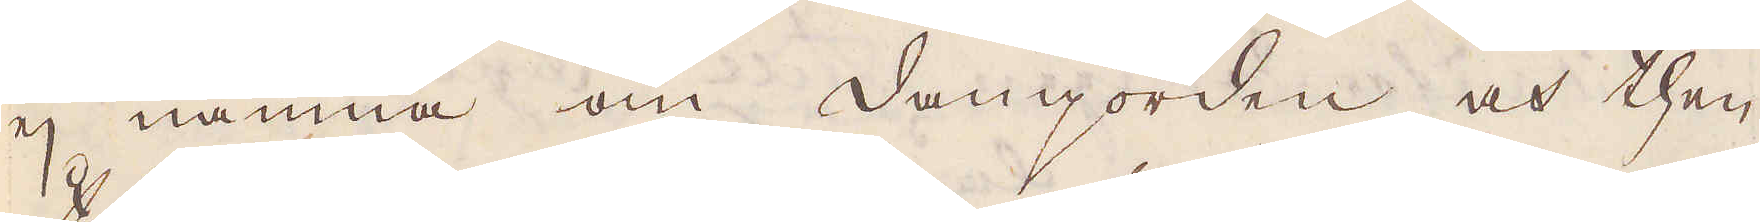ej nämna om damjorden och then
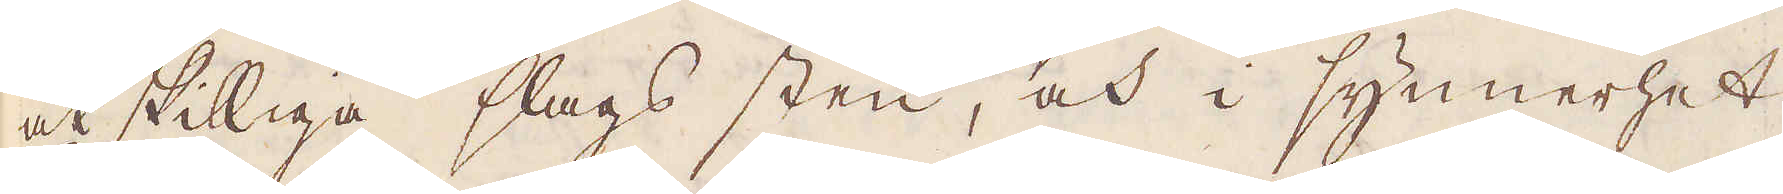åtskilliga slags sten, och i synnerhet
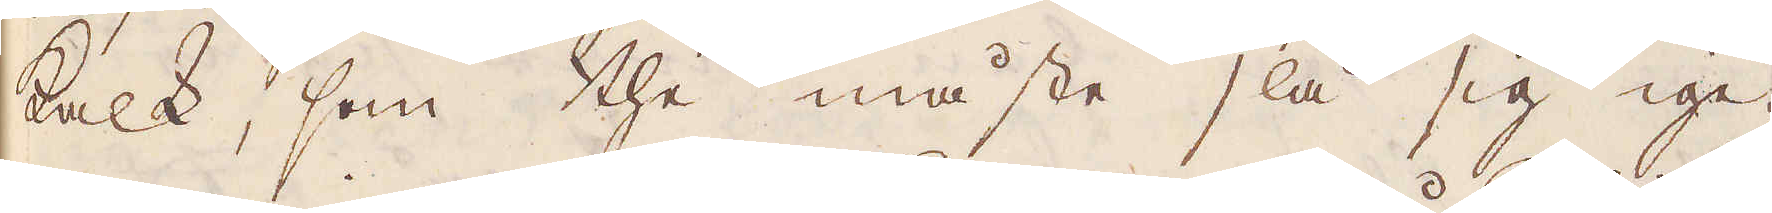kalk, som the måste slå sig ige-
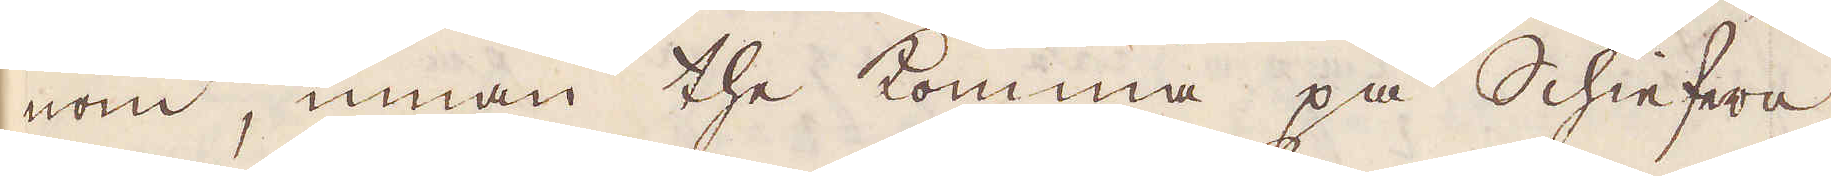nom, innan the komma på Schiefern,
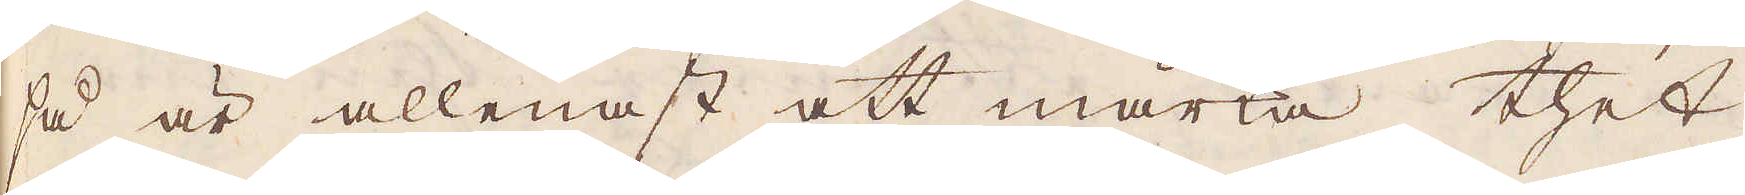så är allenast att märka, thet
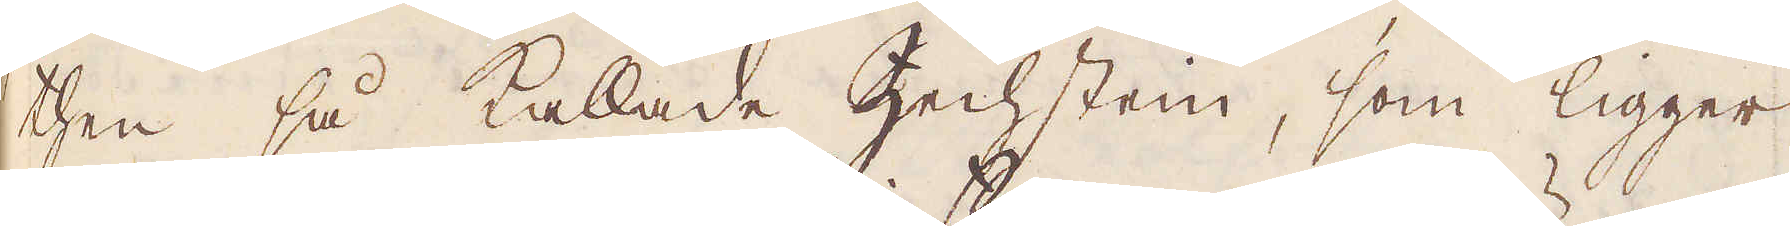then så kallade Zechstein, som ligger
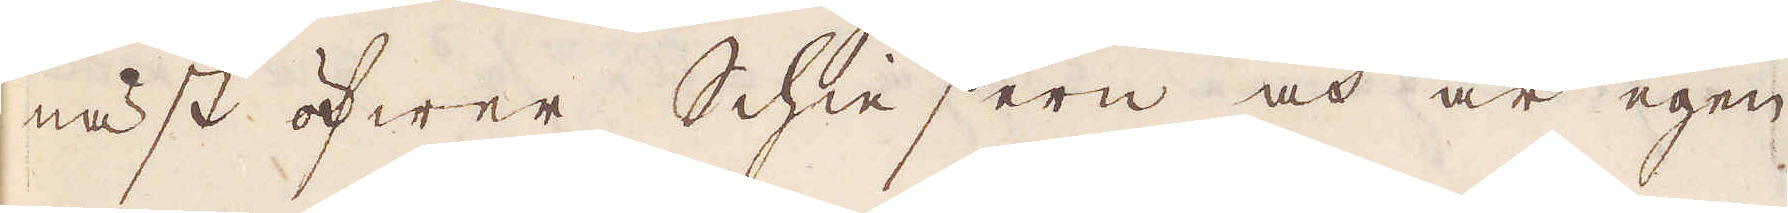näst öfwer Schie sern och är egen-
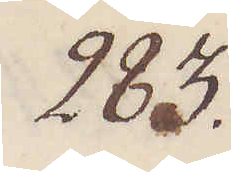283.
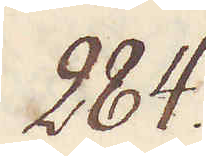284.
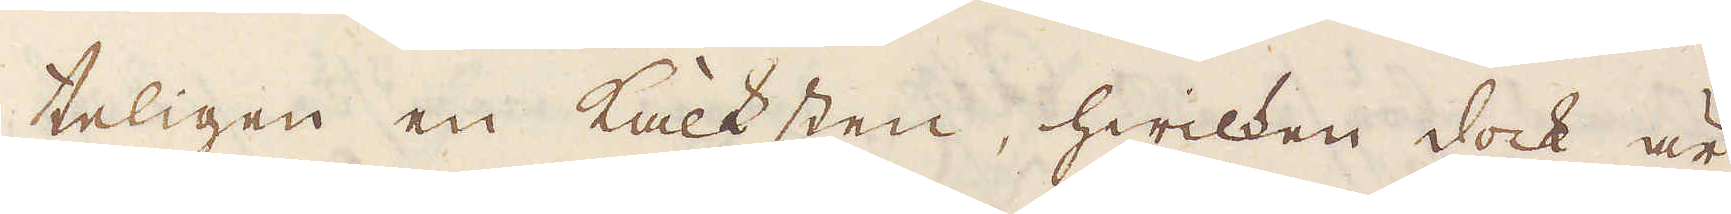teligen en Kalksten, hwilken dock är
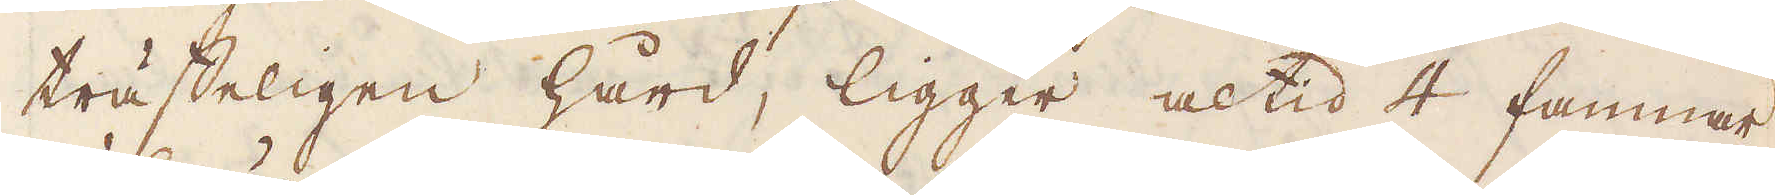träffeligen hård, ligger altid 4 famnar
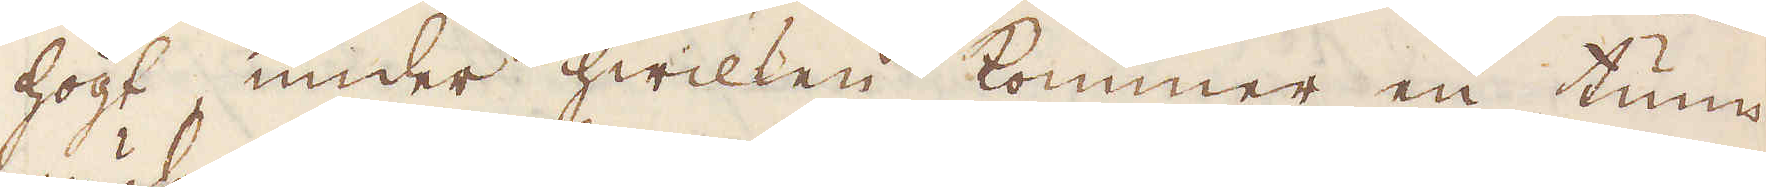högt, under hwilken kommer en tum
